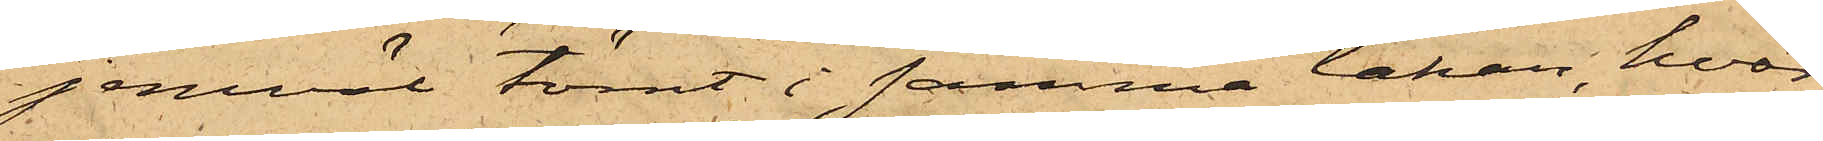jemväl tömt i samma lakan, hvar¬
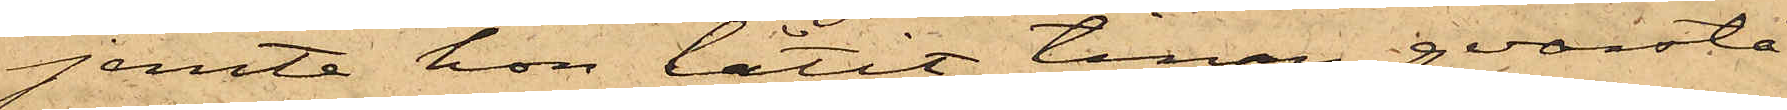jemte hon låtit tinan qvarstå
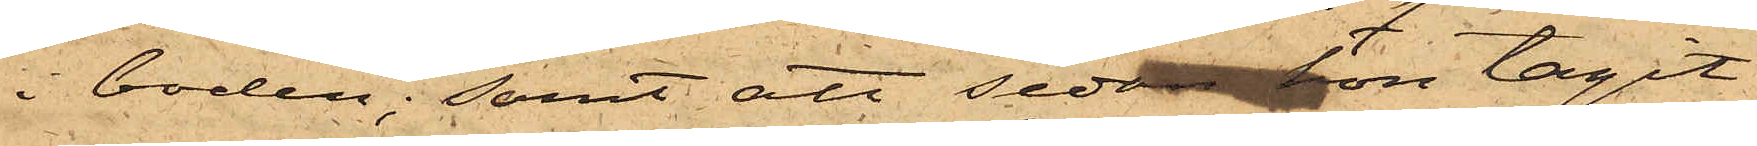i boden; samt att sedan hon tagit
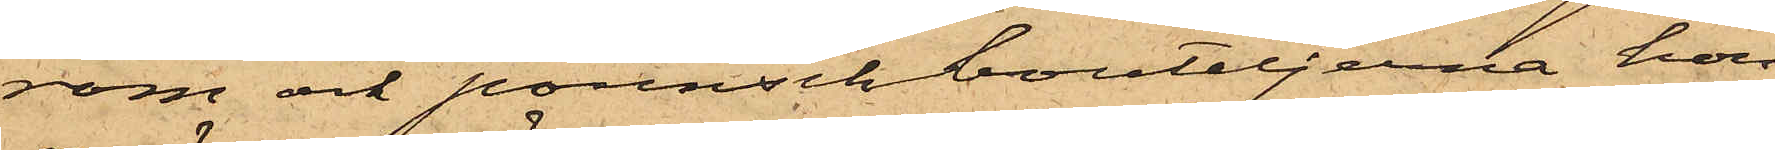rom och pounschbouteljerna hon
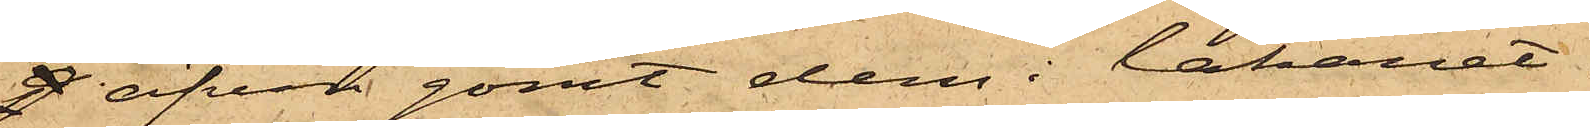g äfven gömt dem i lakanet.
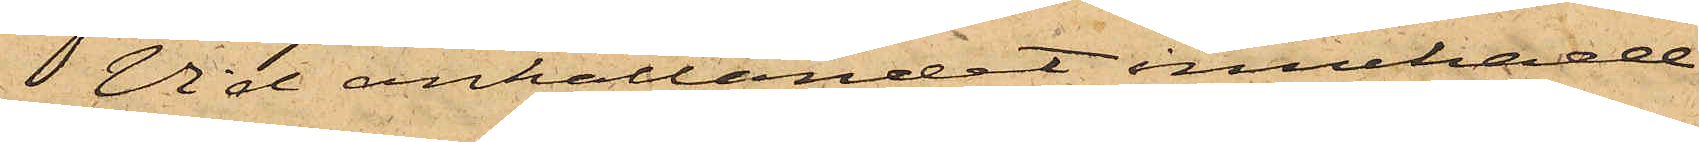Vid anhållandet innehade
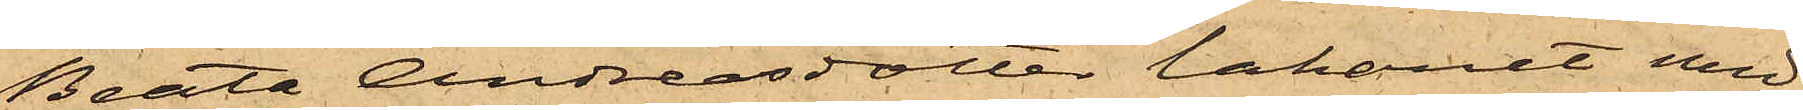Beata Andreasdotter lakanet med
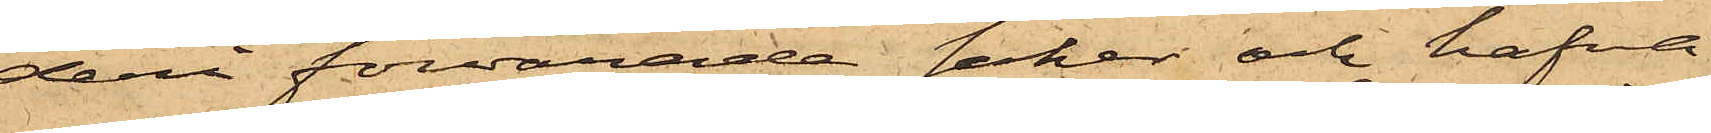deri förvarade saker och hafva
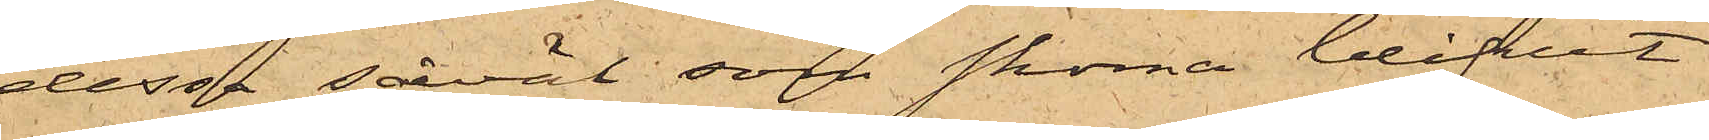dessa såväl som skorna blifvit
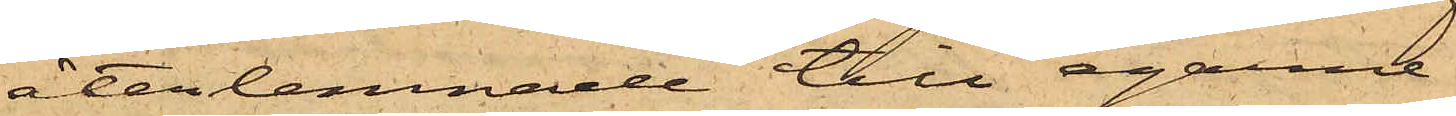återlemnade till egarne.
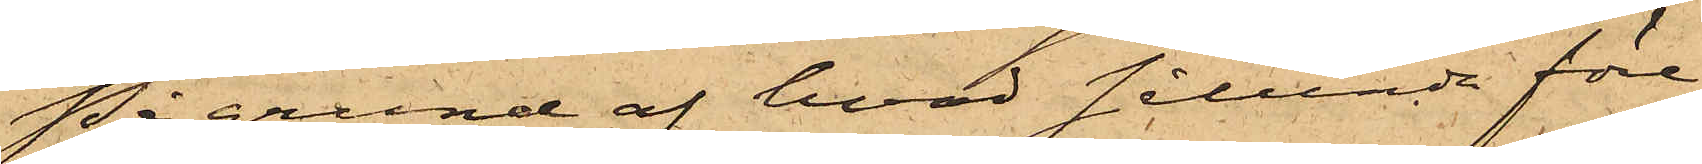På grund af hvad sålunda före¬
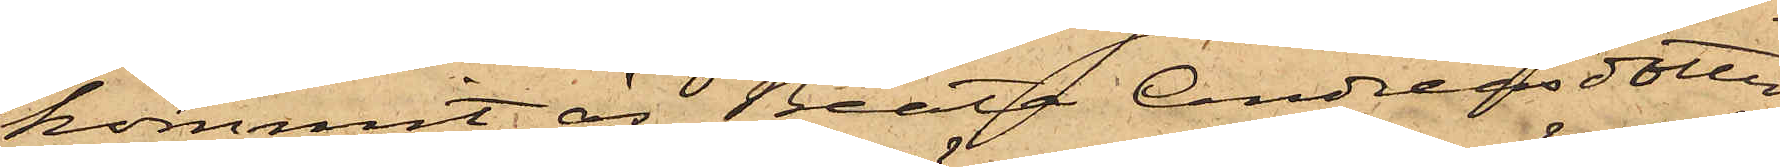kommit, är Beata Andreasdotter
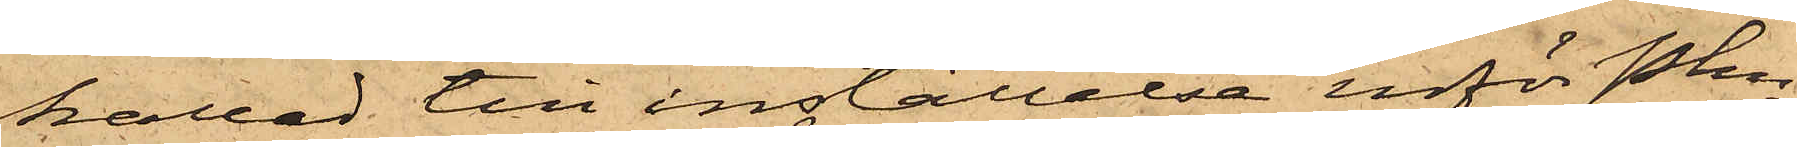kallad till inställelse inför Pkn
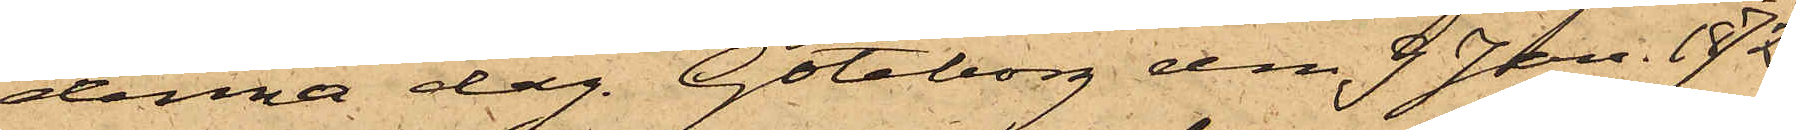denna dag. Göteborg den 9 Jan. 1872.
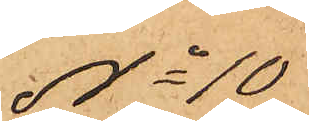No 10
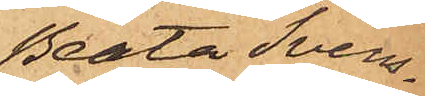Beata Svens¬
